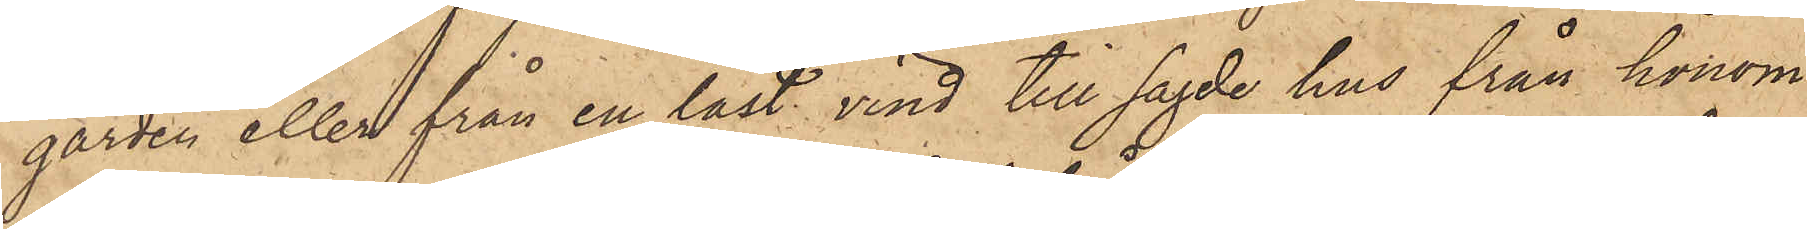gården eller från en låst vind till sagde hus från honom
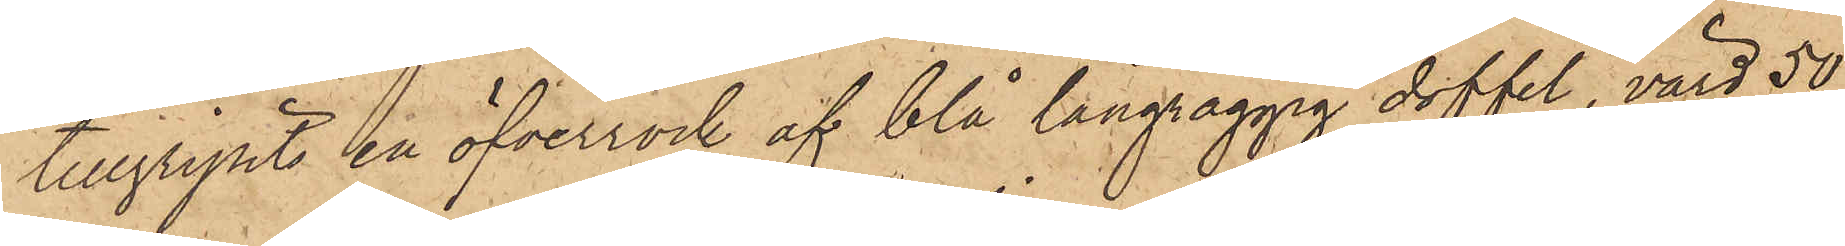tillgripits en öfverrock af blå långraggig doffel, värd 50
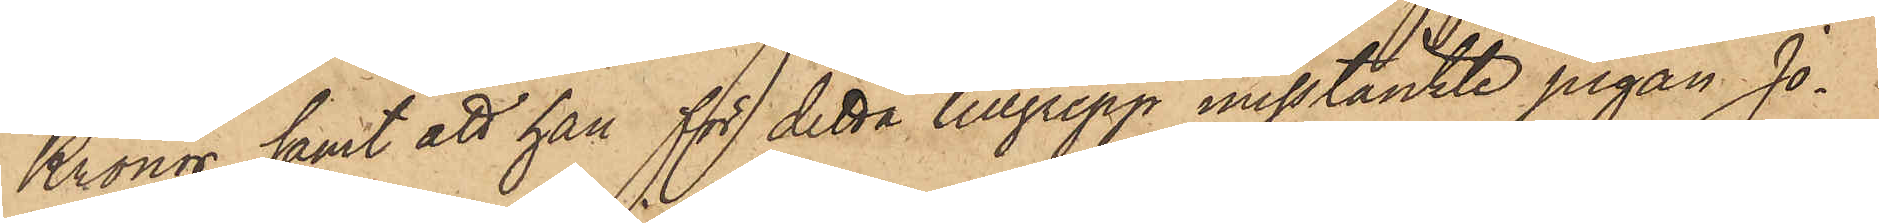Kronor, samt att han för detta tillgrepp misstänkte pigan Jo¬
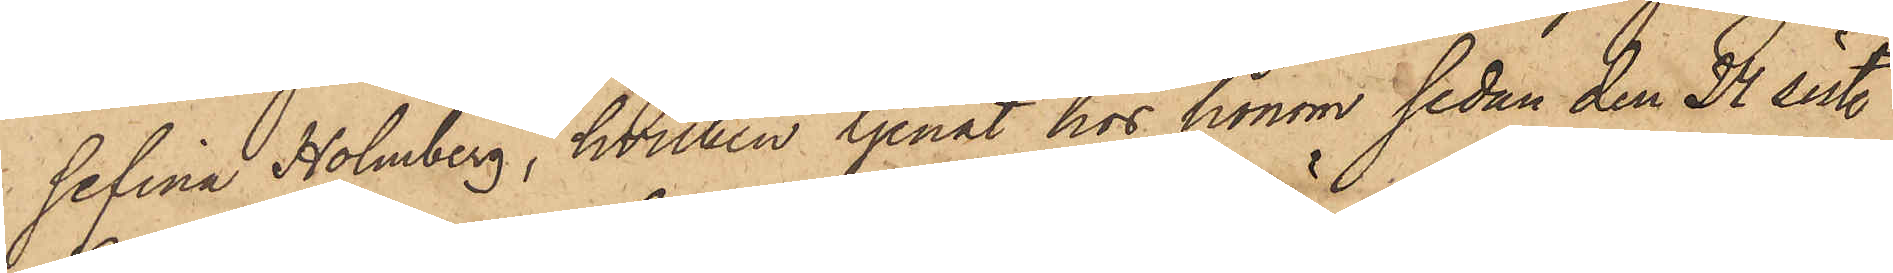sefina Holmberg, hvilken tjenat hos honom sedan den 24 sist.
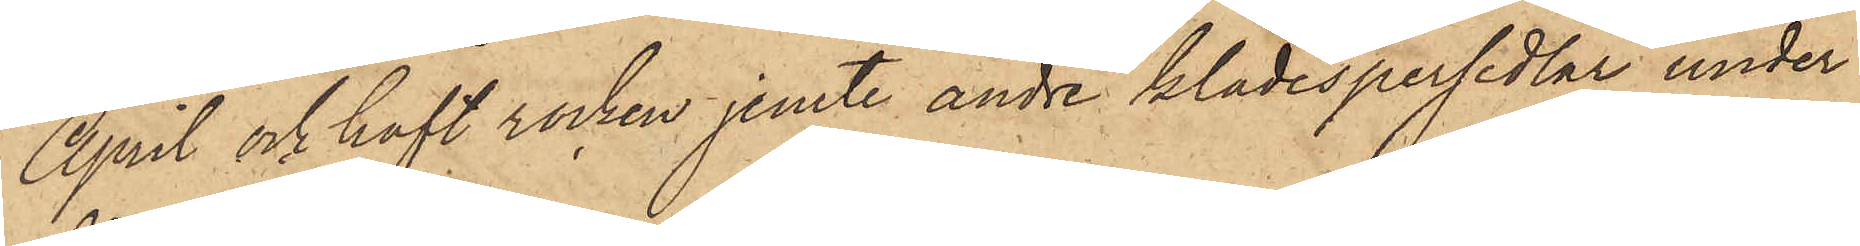April och haft rocken jemte andre klädespersedlar under
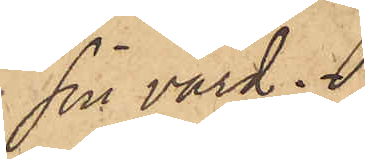sin vård.
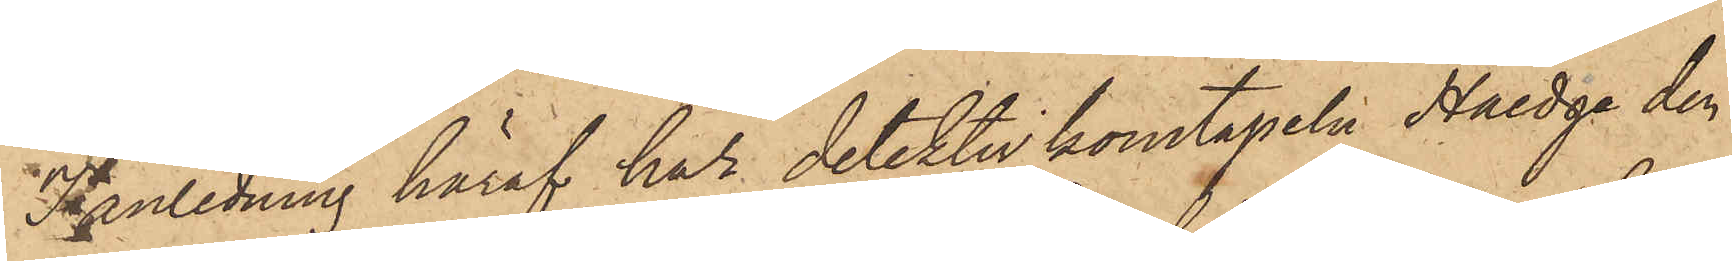I anledning häraf har detektivkonstapeln Haedge den
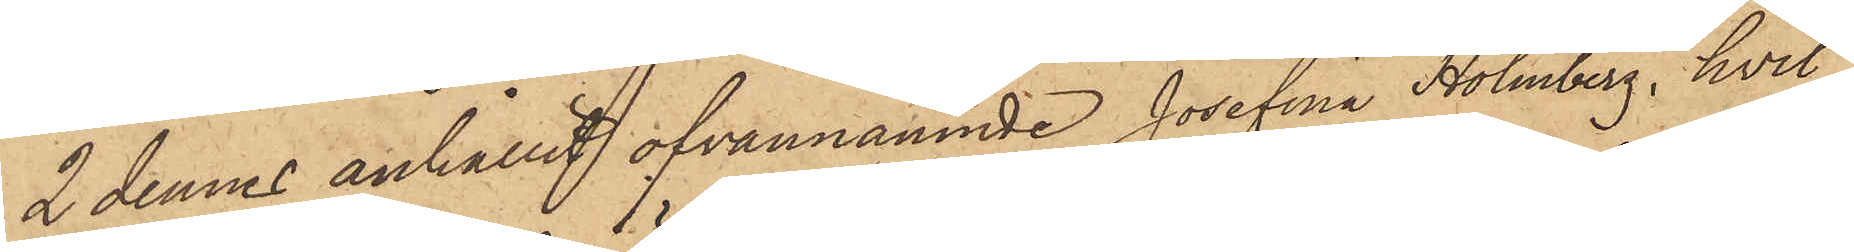2 dennes anhållit ofvannämnde Josefina Holmberg, hvil¬
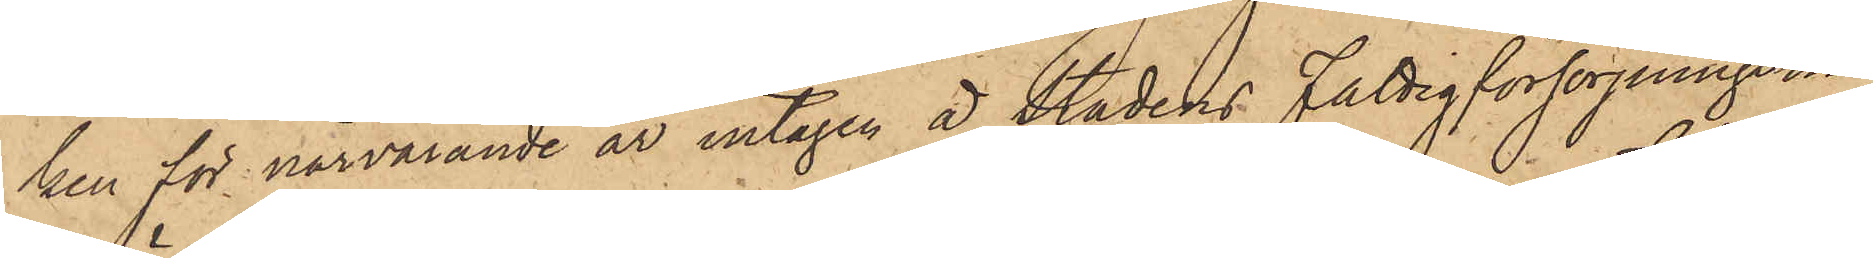ken för närvarande är intagen å Stadens Fattigförsörjningsin¬
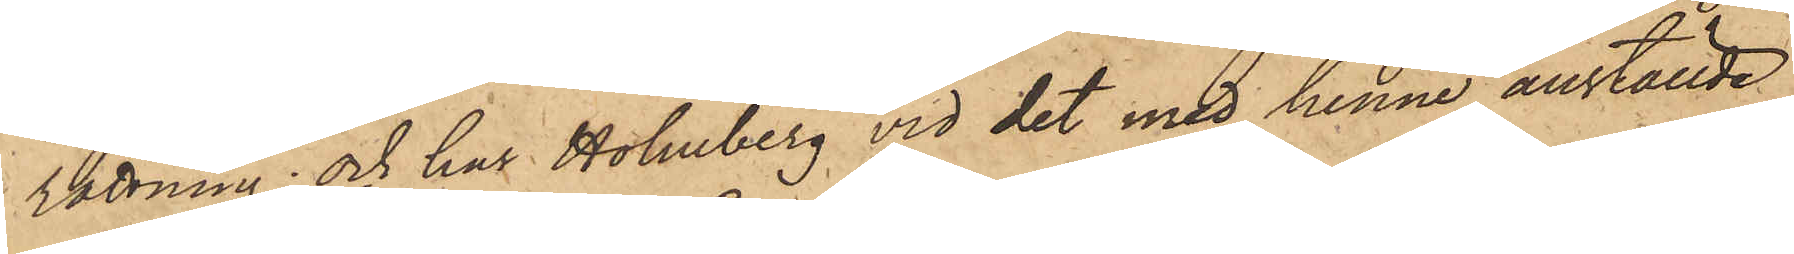rättning; och har Holmberg vid det med henne anställde
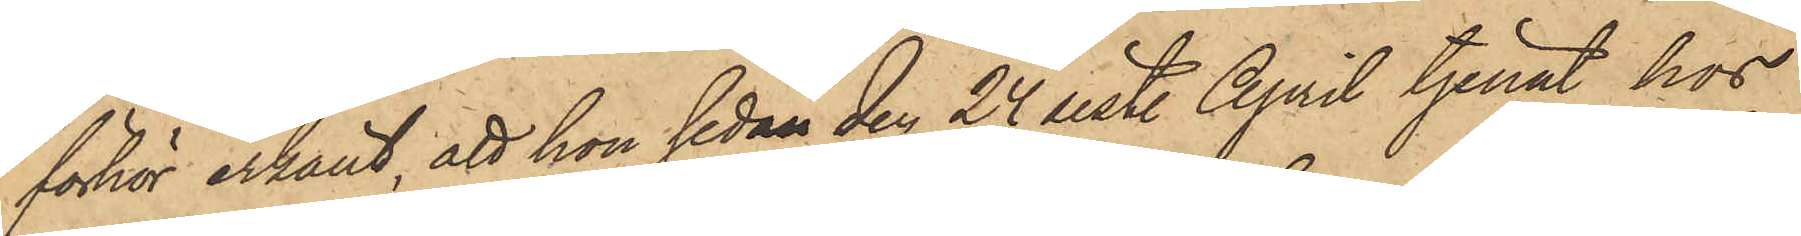förhör erkänt, att hon sedan den 24 sist. April tjenat hos
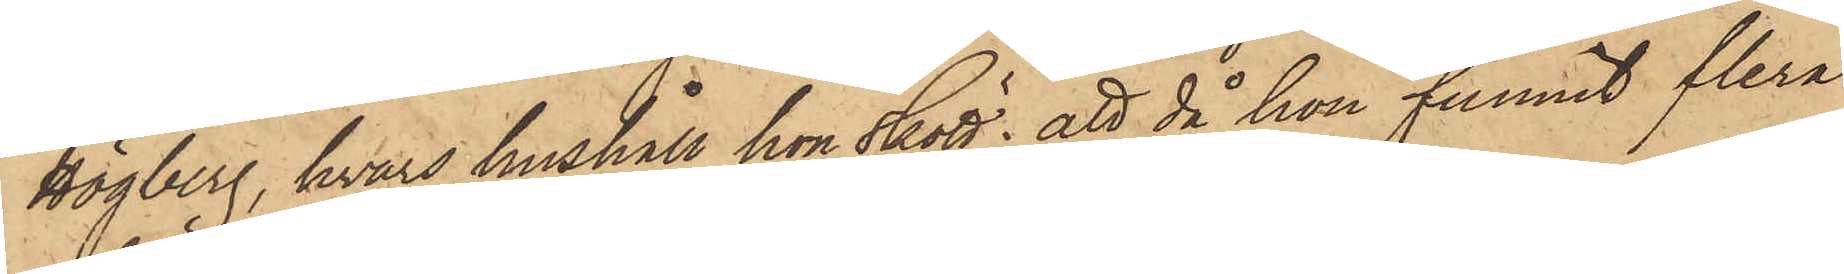Högberg, hvars hushåll hon skött; att då hon funnit flera
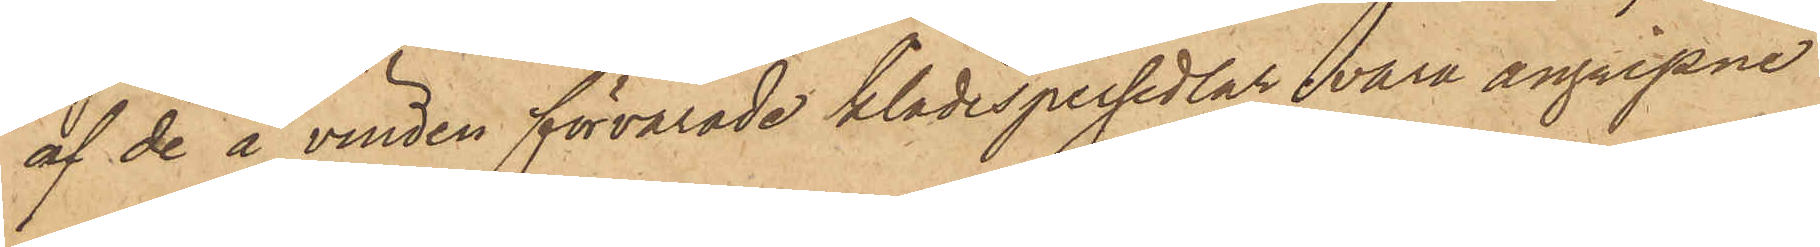af de å vinden förvarade klädespersedlar vara angripne
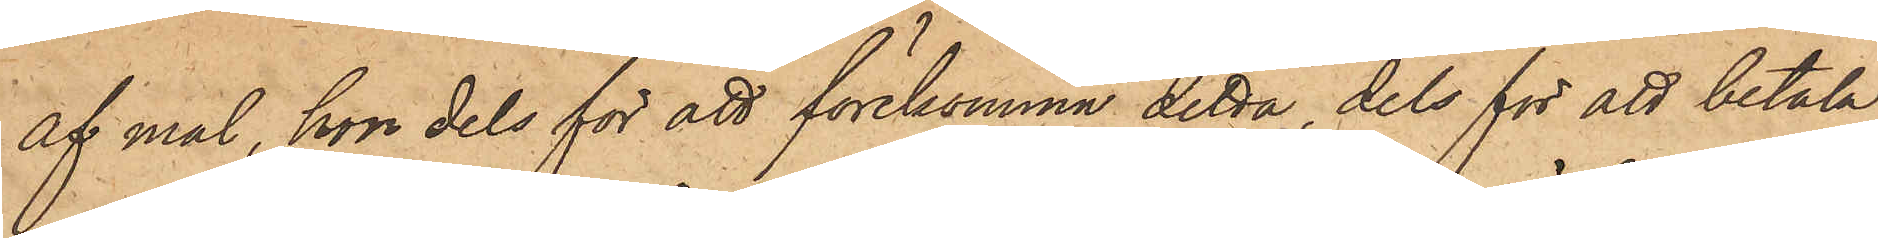af mal, hon dels för att förekomma detta, dels för att betala
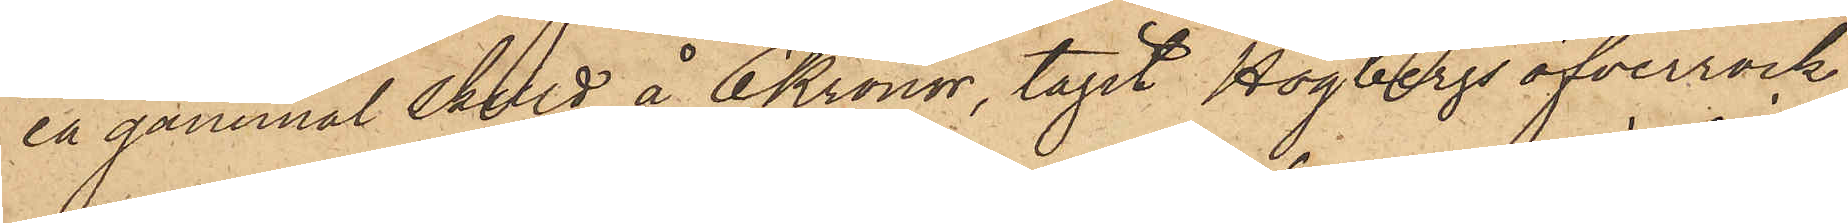en gammal skuld å 6 Kronor, tagit Högbergs öfverrock
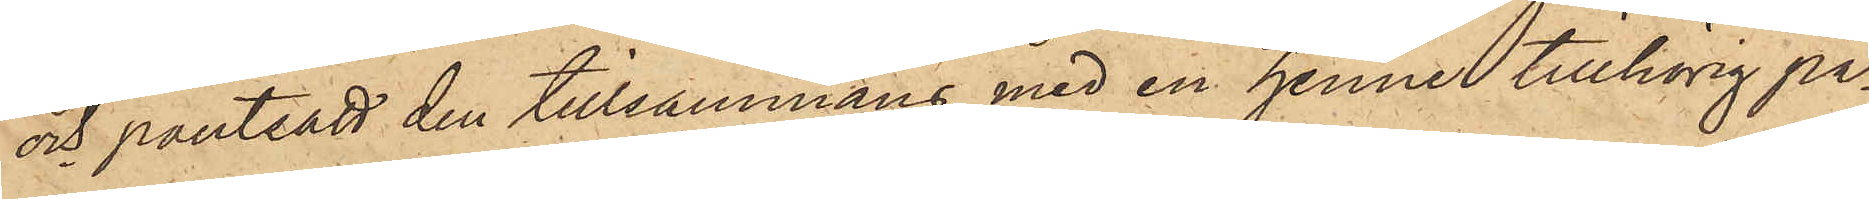och pantsatt den tillsammans med en henne tillhörig pa¬
